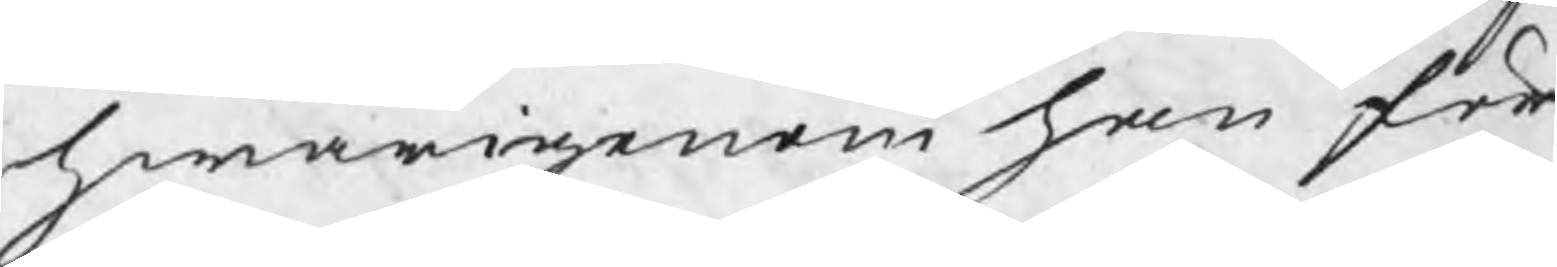hwarigenom han för¬
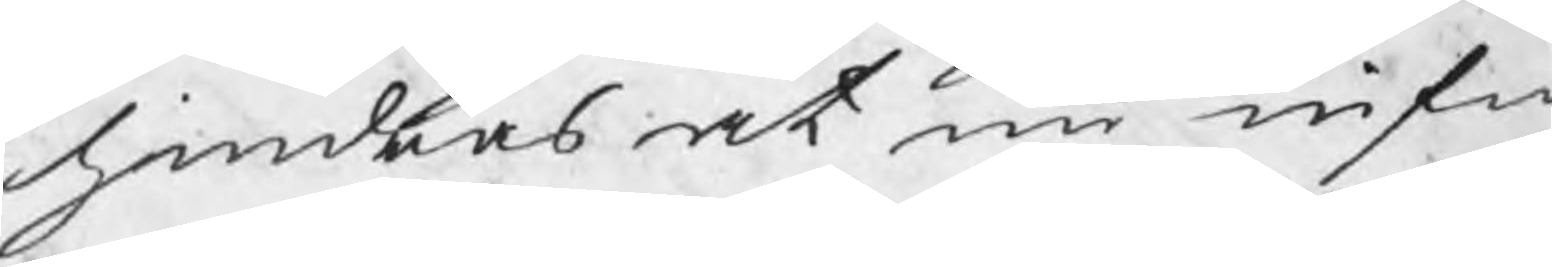hindras at nu infin¬
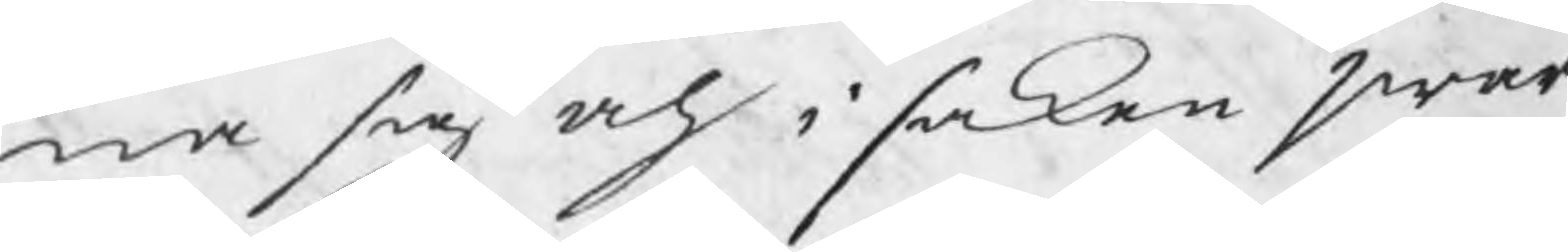na sig och i saken swar
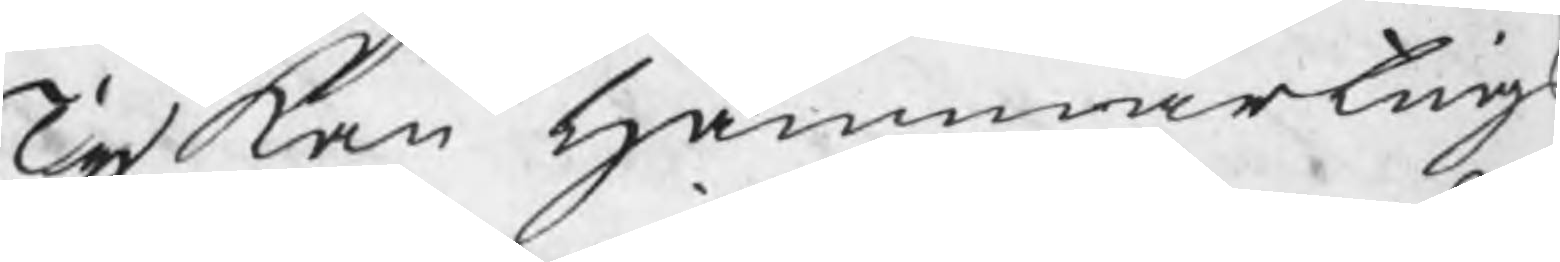Ty kan Hammartings
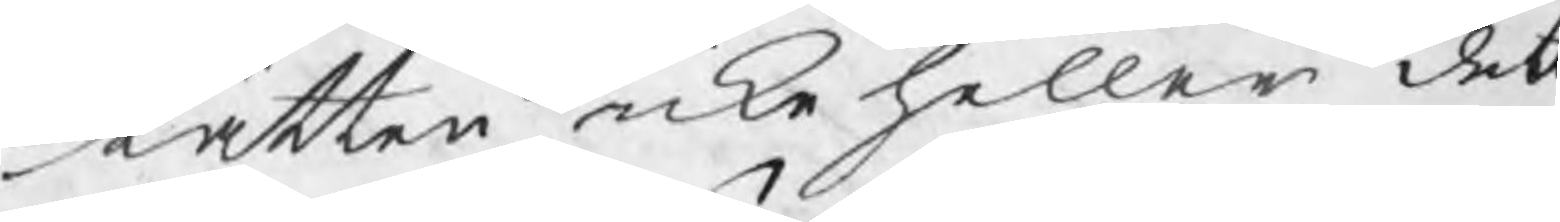Rätten icke heller dett
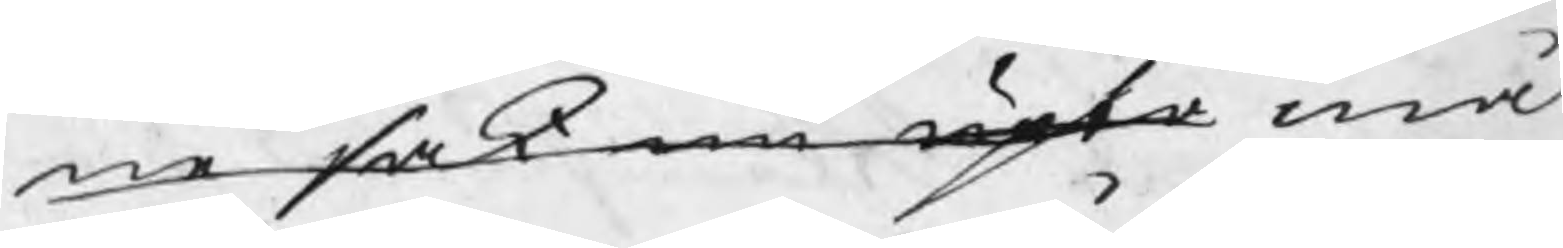ne sak nu upta mål
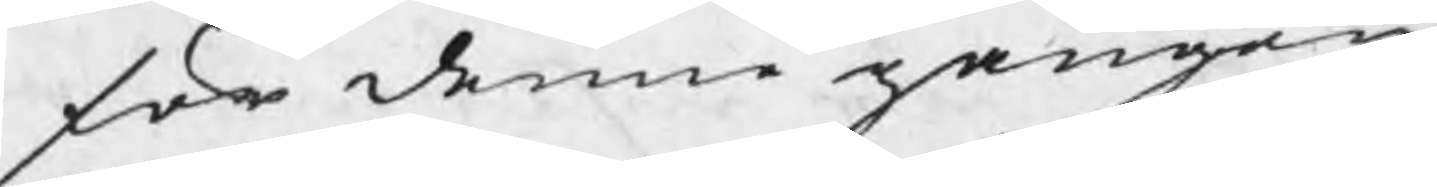för denne gången
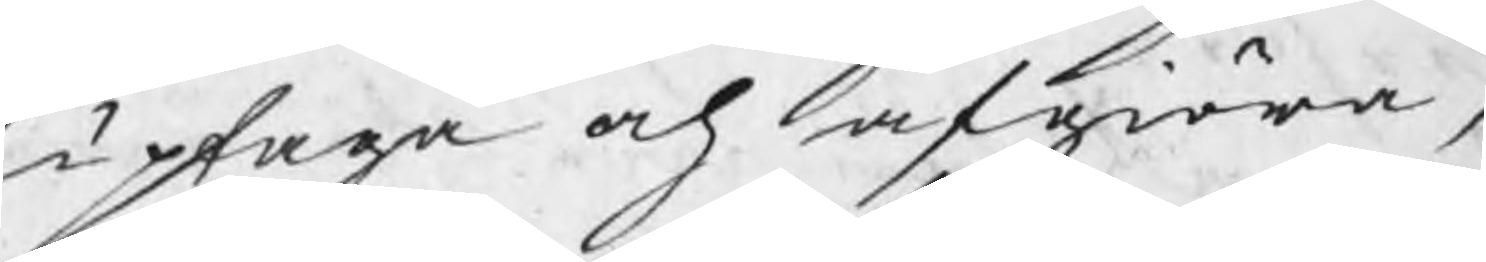uptaga och afgiöra,
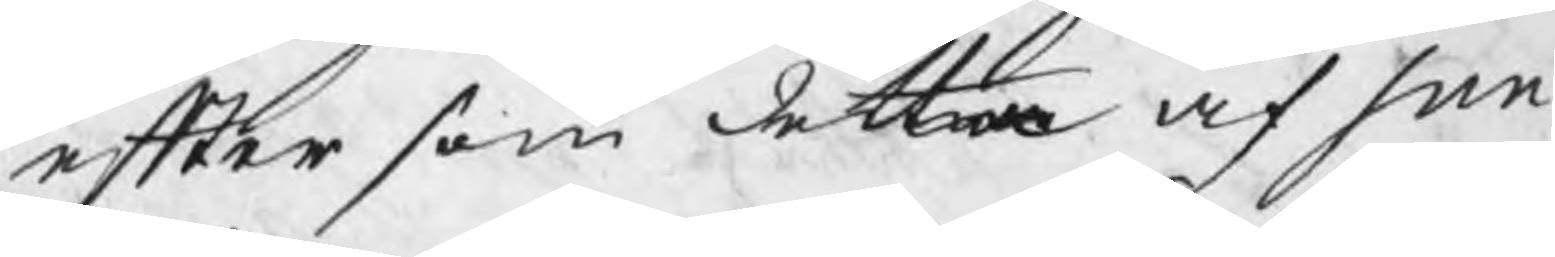efter som detta af Sun¬
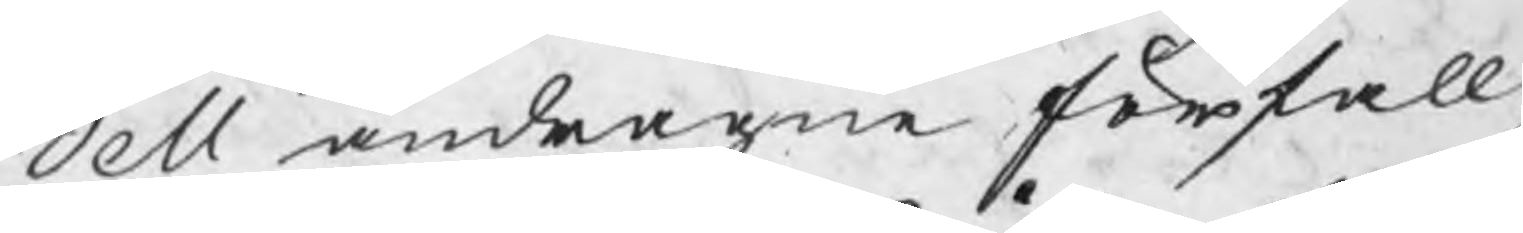dell andragne förfall,
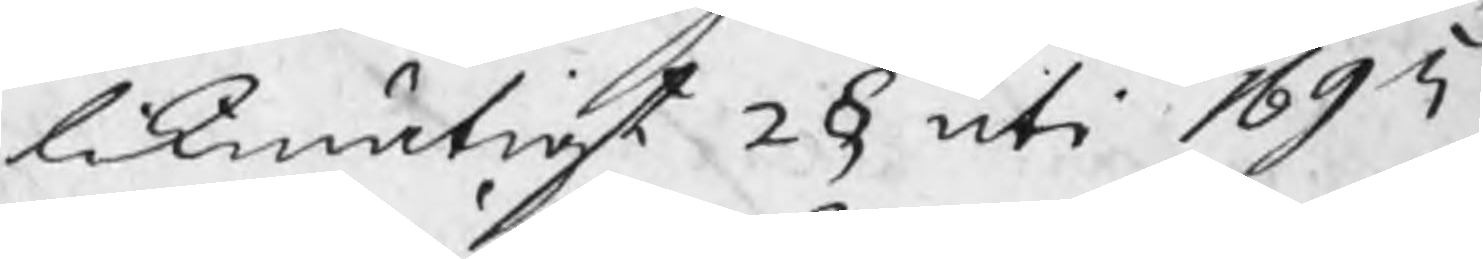likmätigt 2 § uti 1695
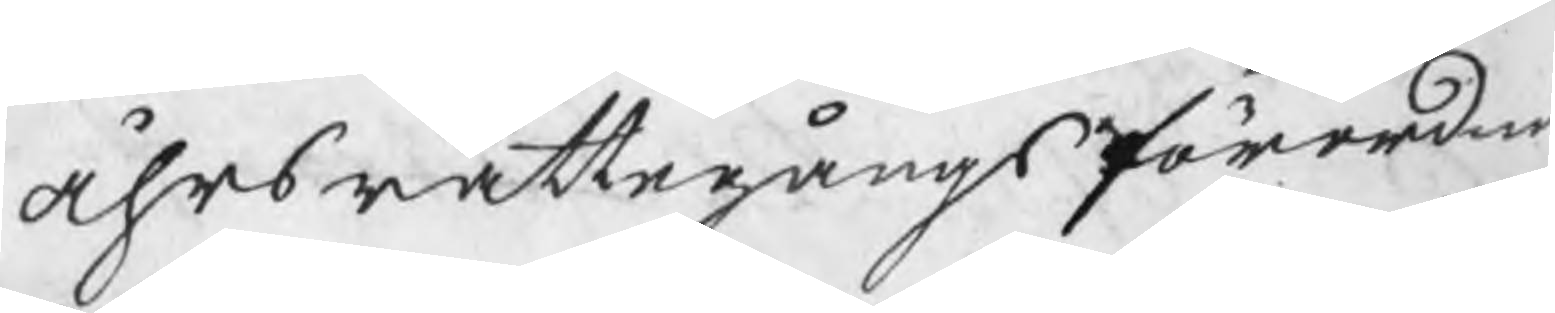åhrs rättegångsförordni
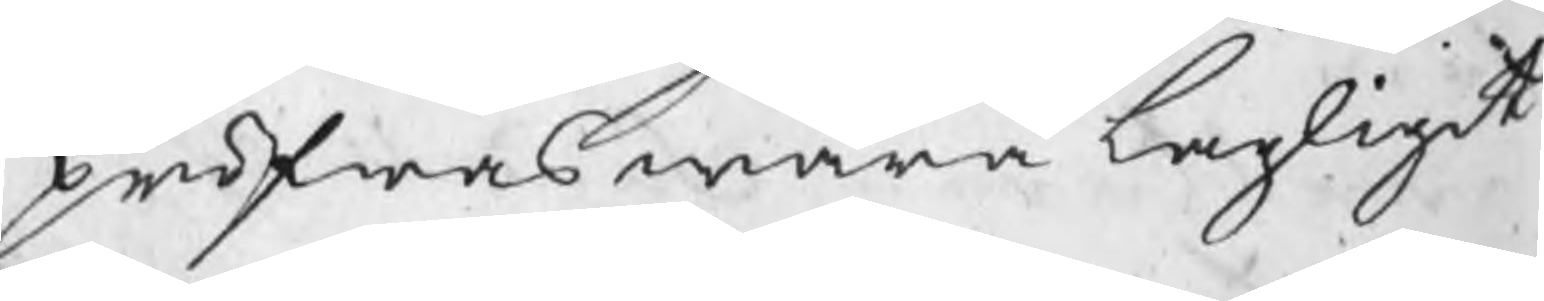pröfwas wara lagligit.
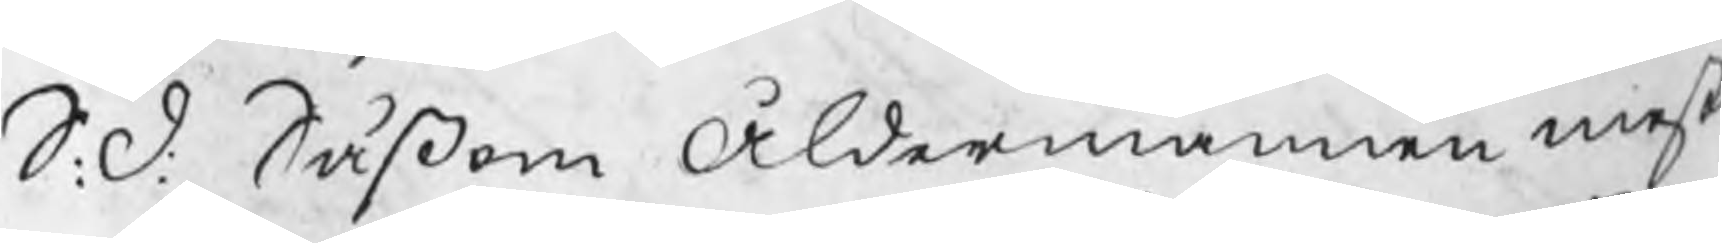S: d: Såsom Åldermannen mest
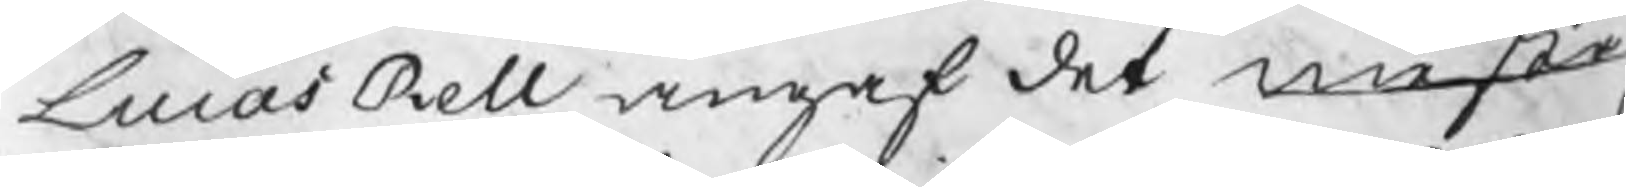Lucas Rell angaf det mester¬
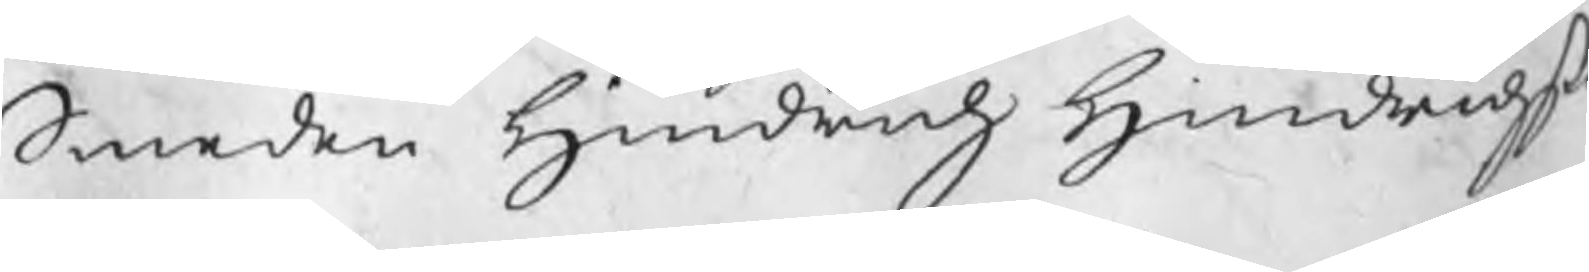Smeden Hindrich Hindrichßo
